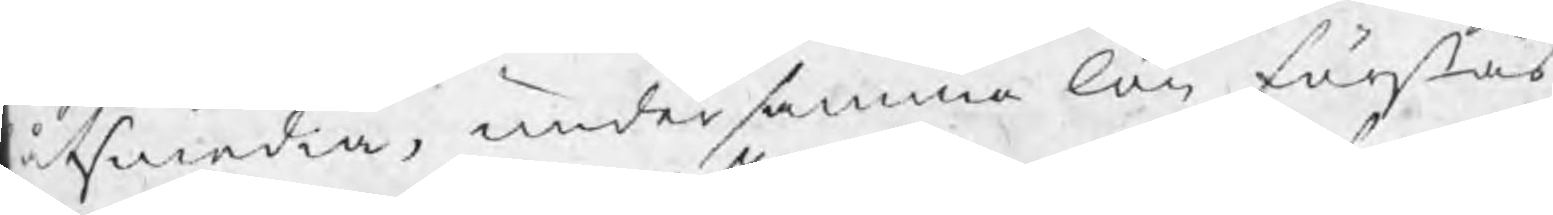åtsmedia, under samma lön förstås
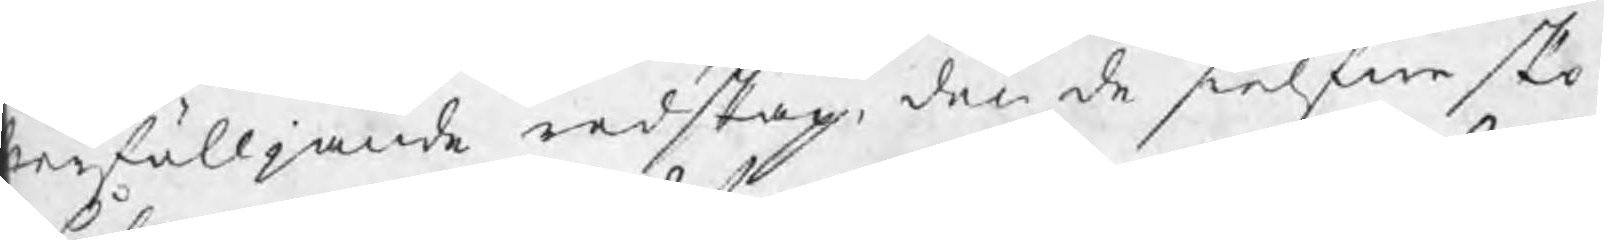er fölljande redskap, den de sielfwa sko¬
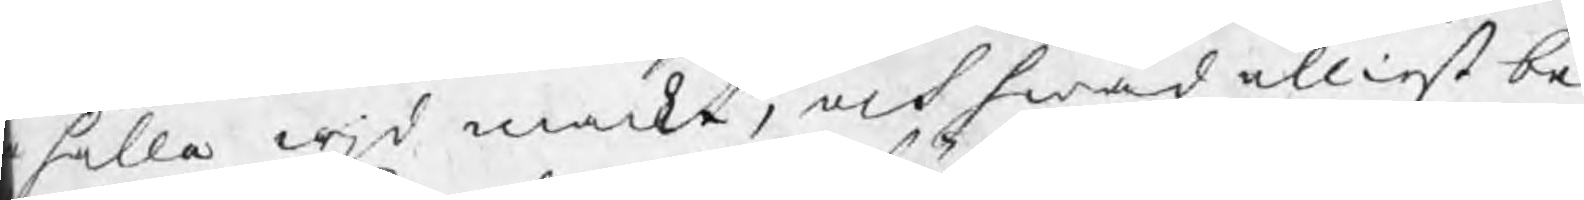hålla wjd mackt, och hwad elliest be¬
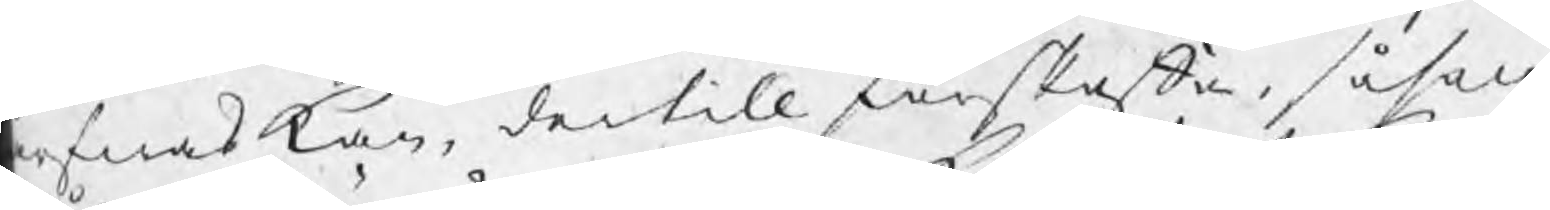rfnas kan, dertill förskaffa, såsom
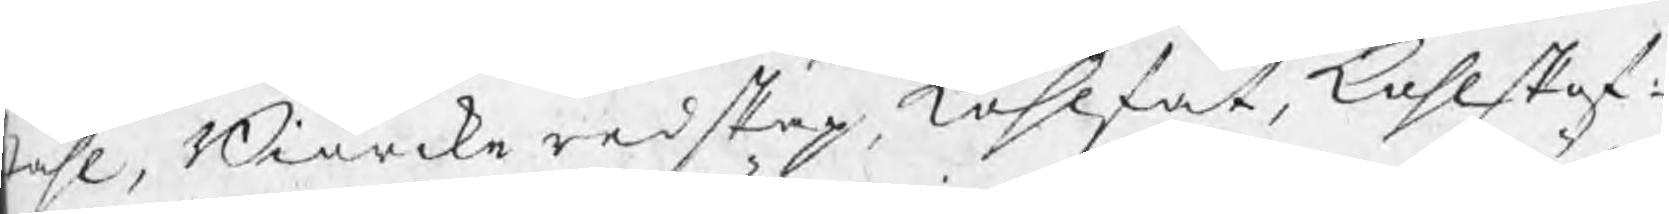tåhl, Biörckeredskap, kohlfat, kohlskof¬
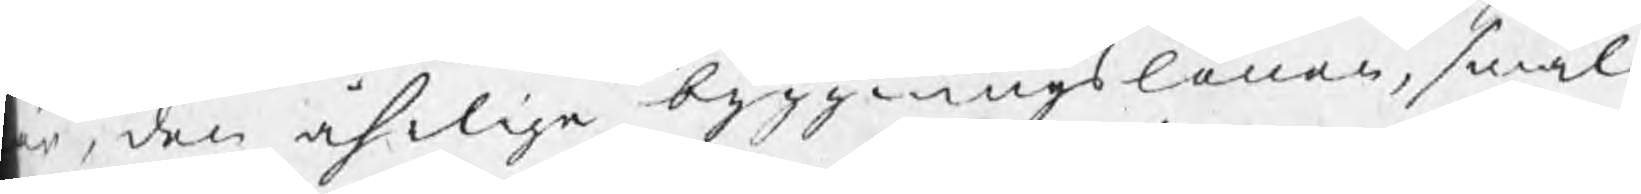r, den åhrliga byggningslönen, smäl¬
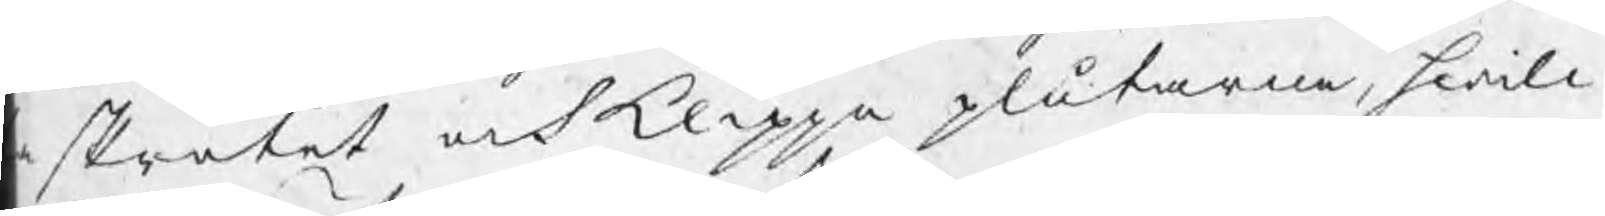a skrotet och klippa plåtarne, hwill¬
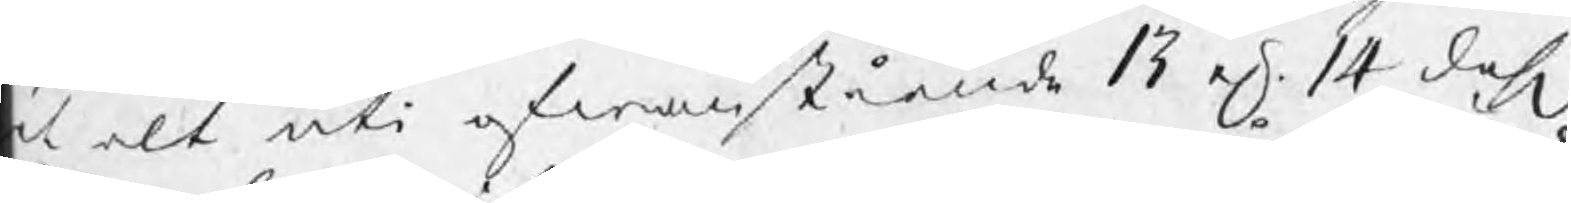et alt uti ofwanstående 13 el 14 dahl
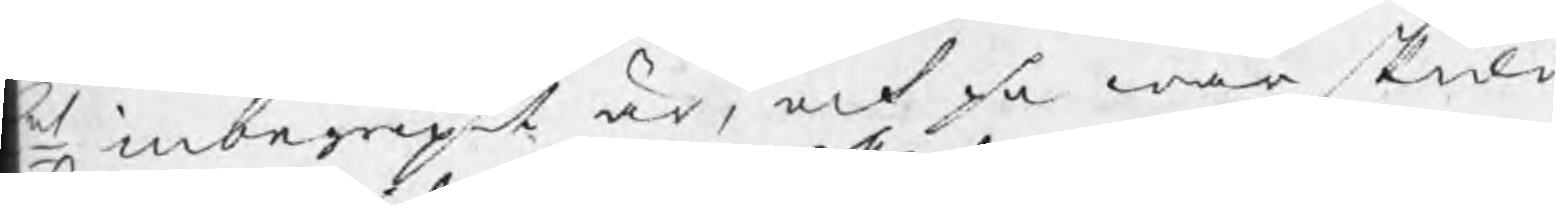t inbegripit är, och få wår skuld
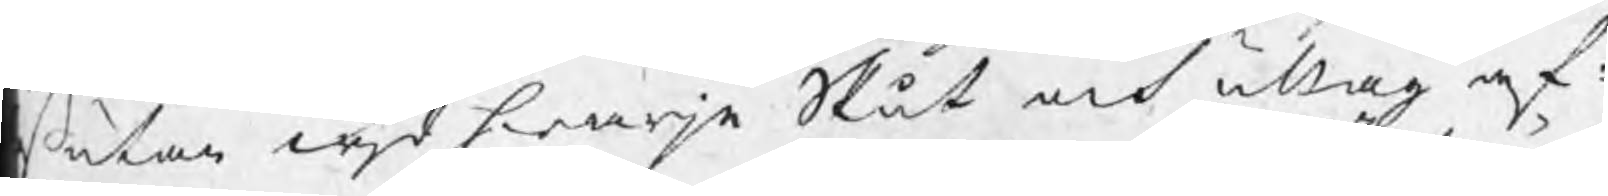ß utan wjd hwarje Slut och uttag af¬
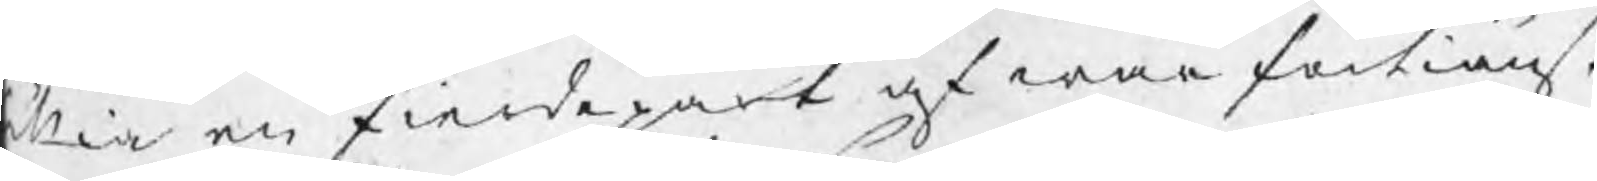illia en fierdepart af wår förtiänst
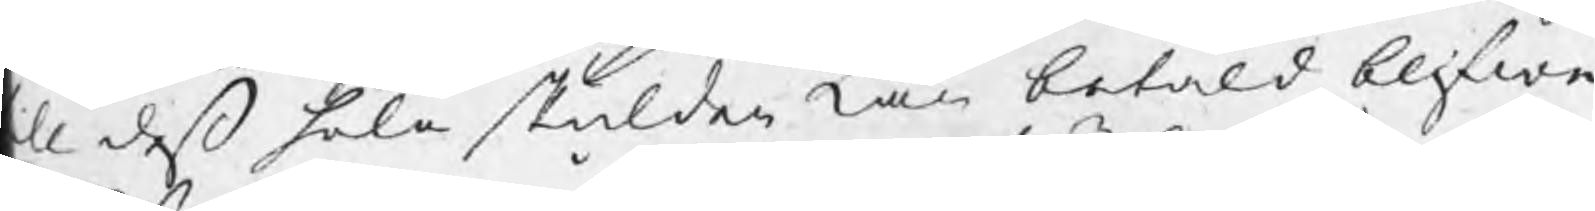ll deß hela skulden kan betald blifwa
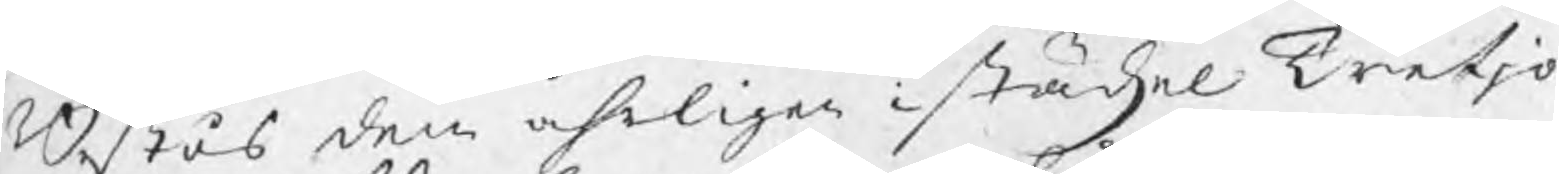Bestås dem åhrligen i städzel Tretjo
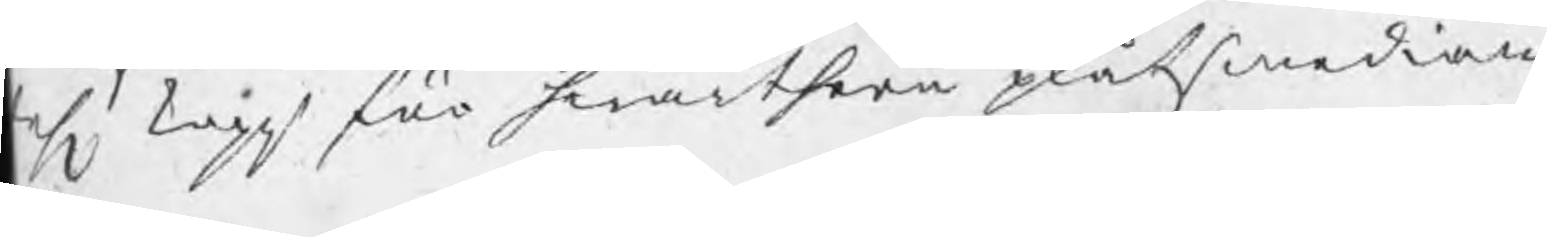ahl kopp för hwarthera plåtsmedian
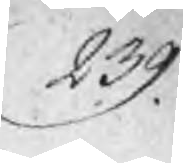239.
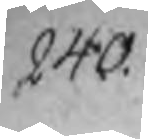240
